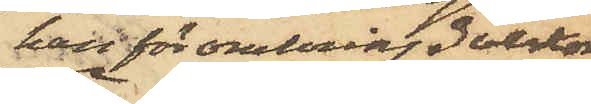han för omkring 3 veckor
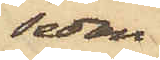sedan
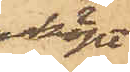köpt
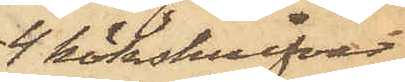4 köksknifvar
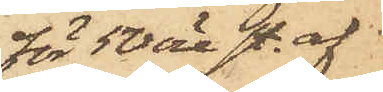för 50 öre st. af
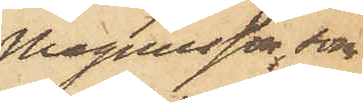Magnusson, som
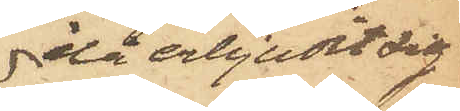då erbjudit sig
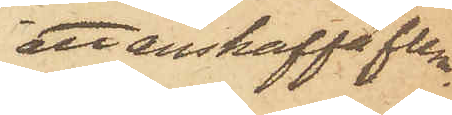att anskaffa flera.
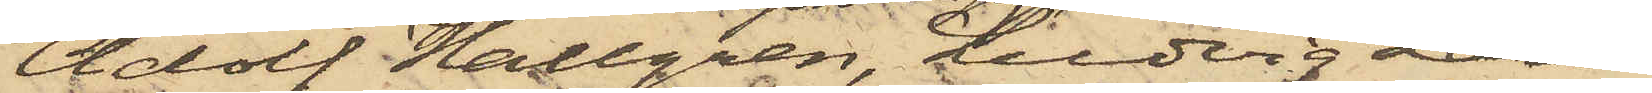Adolf Hallgren, Ludvig Larm
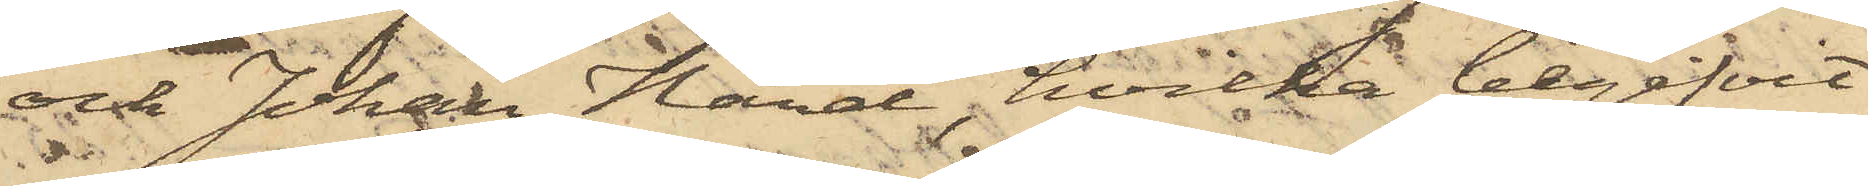och Johan Hård, hvilka begifvit
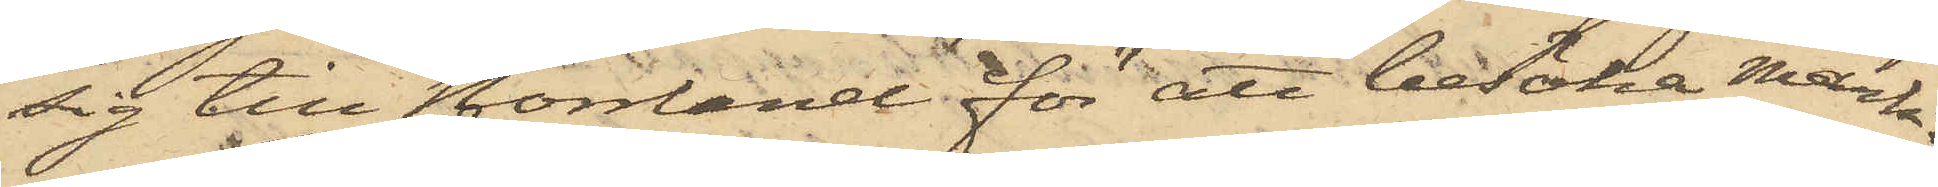sig till Norrland för att besöka Mark¬
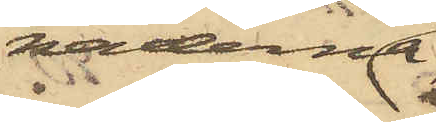naderna
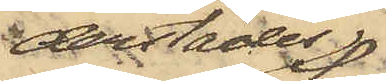derstädes,
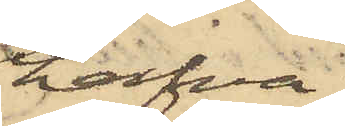hafva
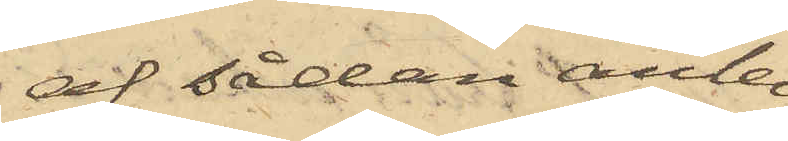af sådan anled¬
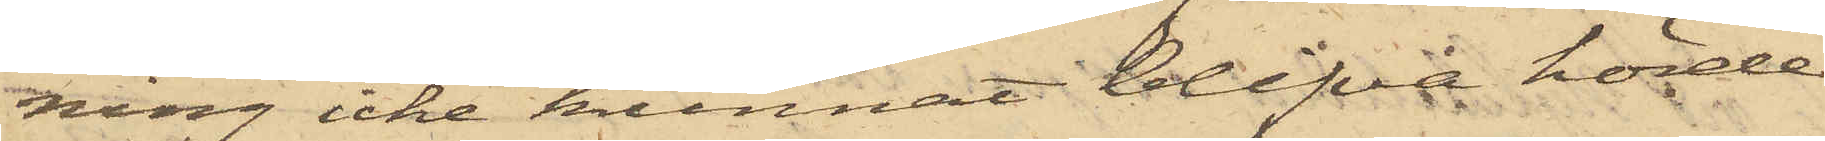ning icke kunnat blifva hörde.
